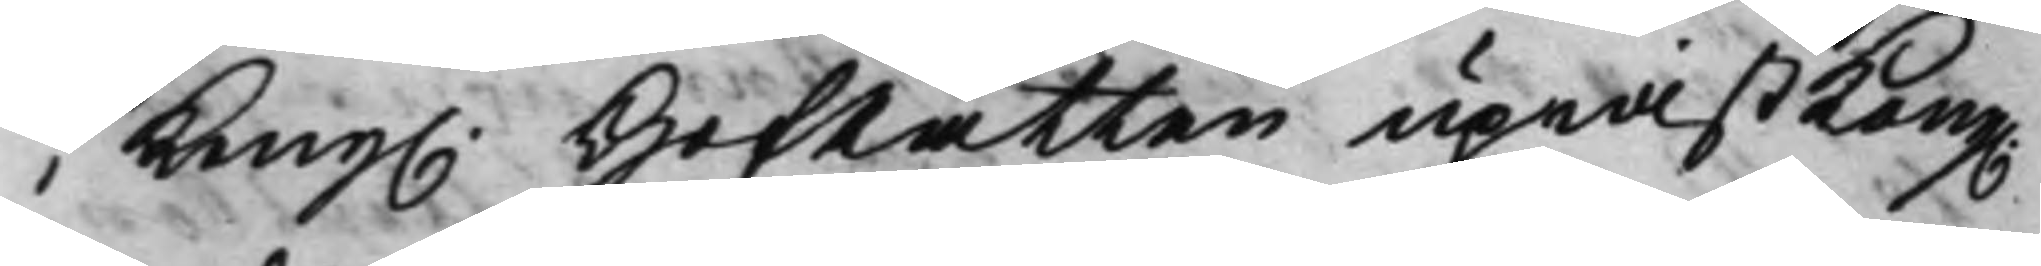i Kong. HofRätten upwist Kong.
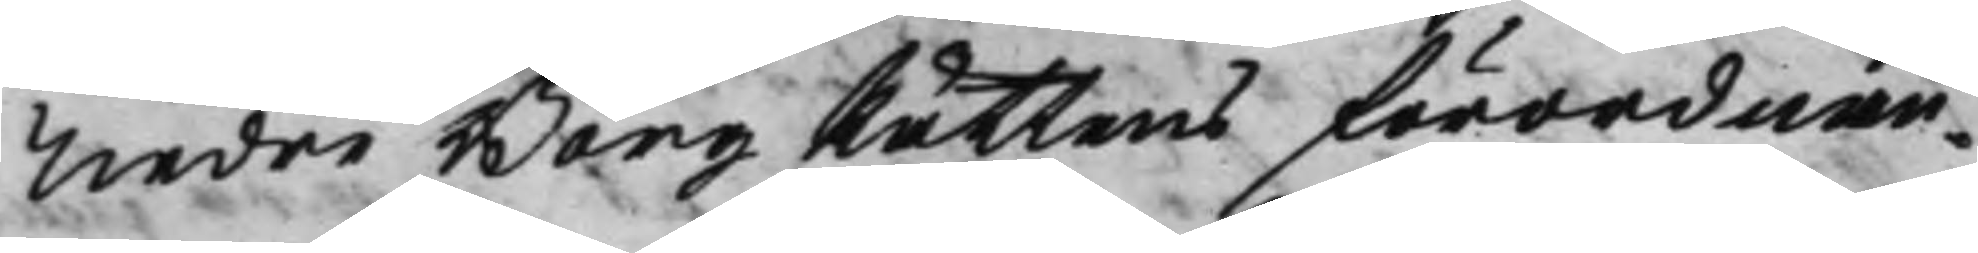Nedre BorgRättens förordnan¬
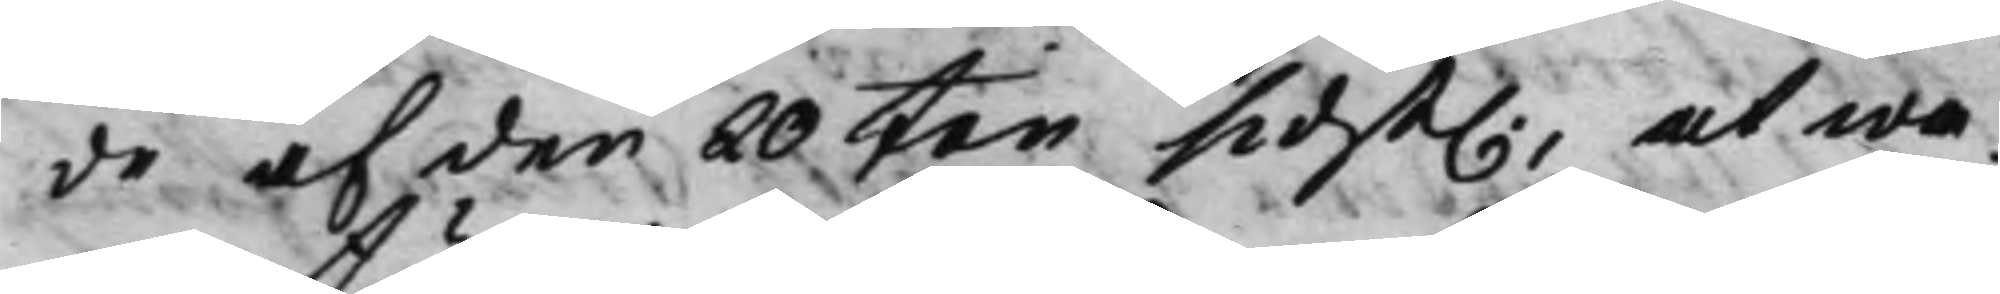de af den 20 Jan sidst., at wa¬
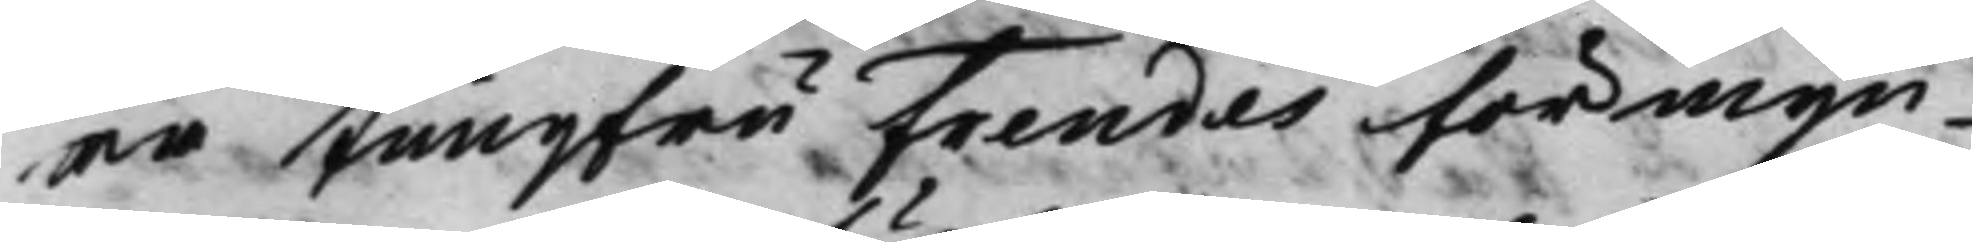ra Jungfru Frendes förmyn¬
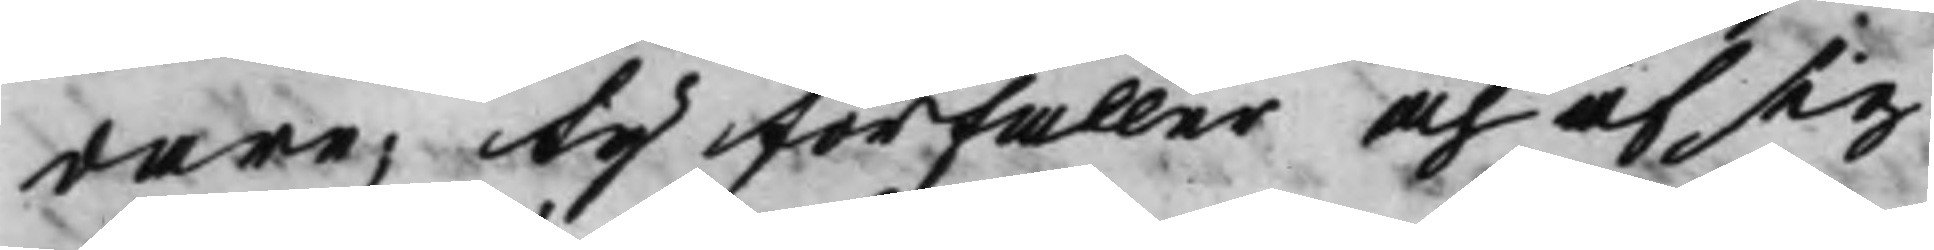rare; Ty förfaller och af sig
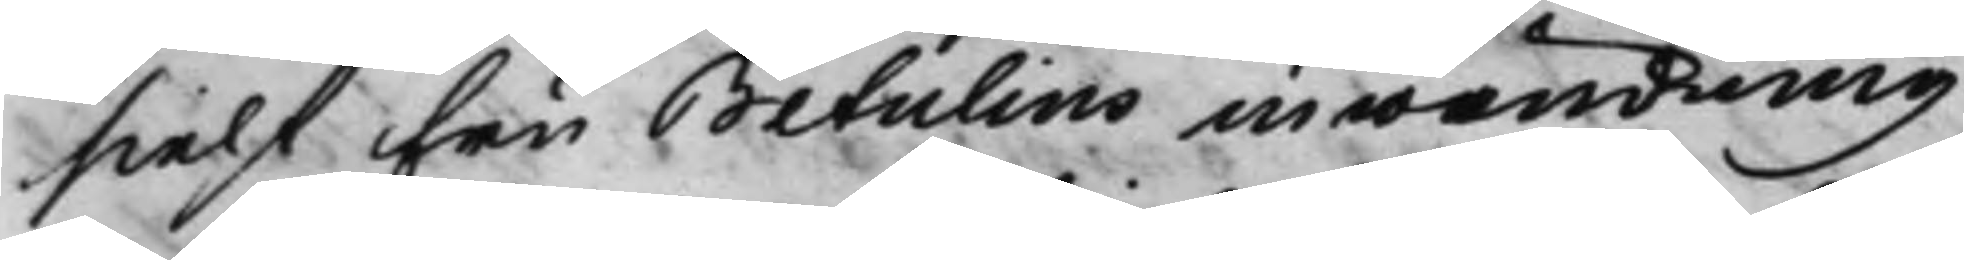sielf fru Betulins inwändning
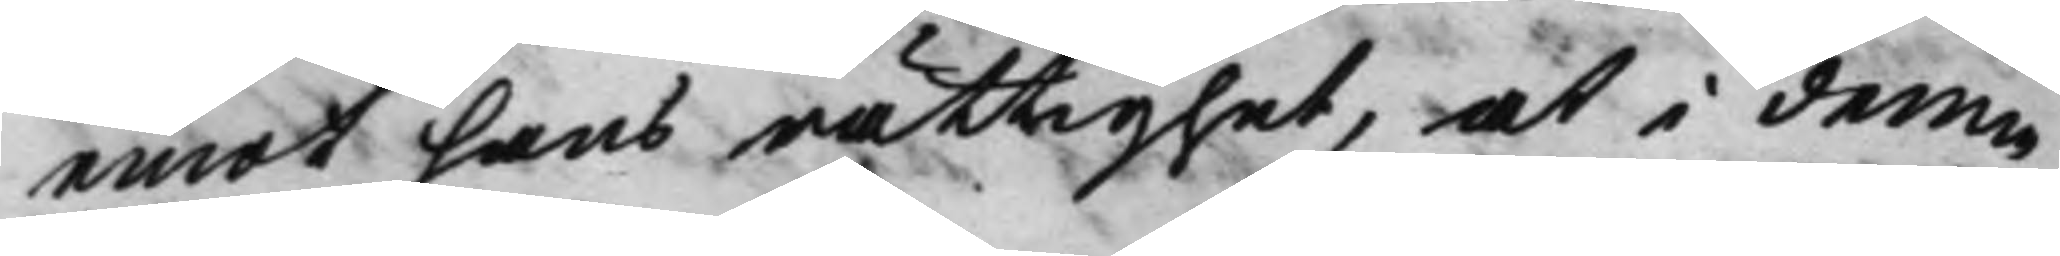emot hans rättighet, at i denna
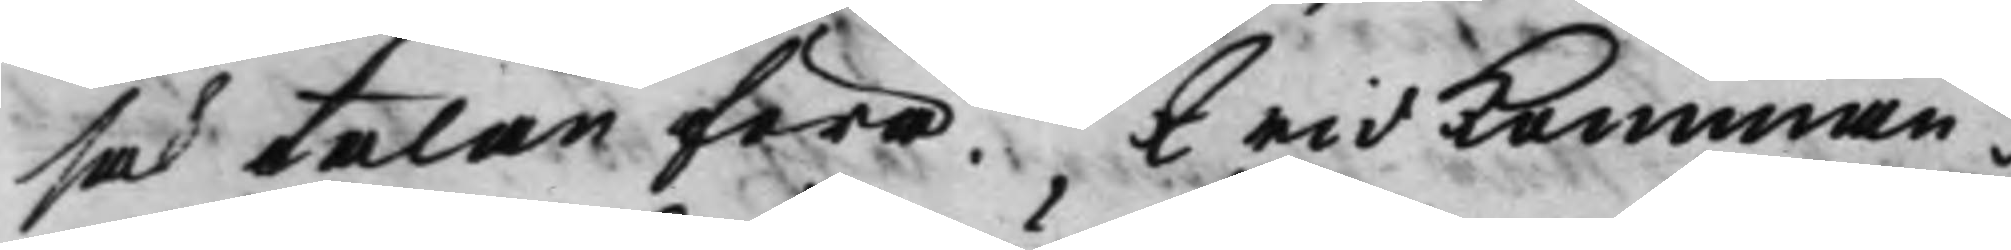sak talan föra. Wid komman¬
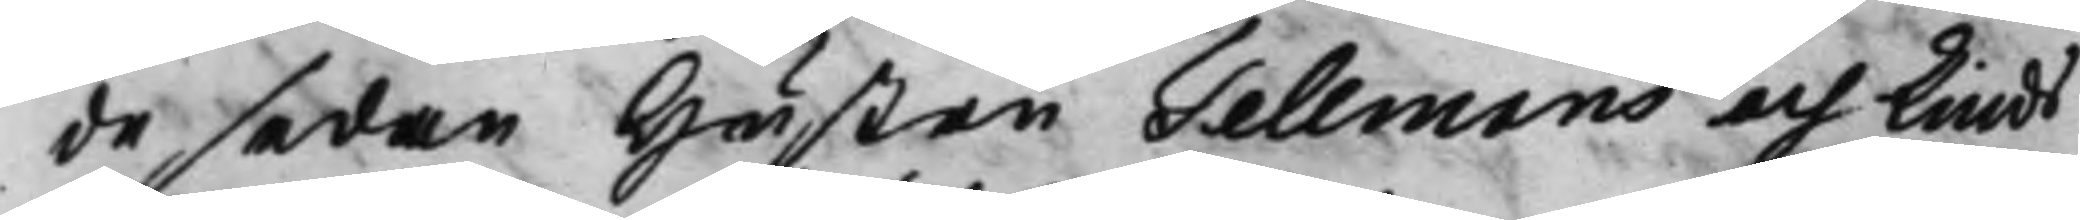de sedan Hustru Tellmans och Linds
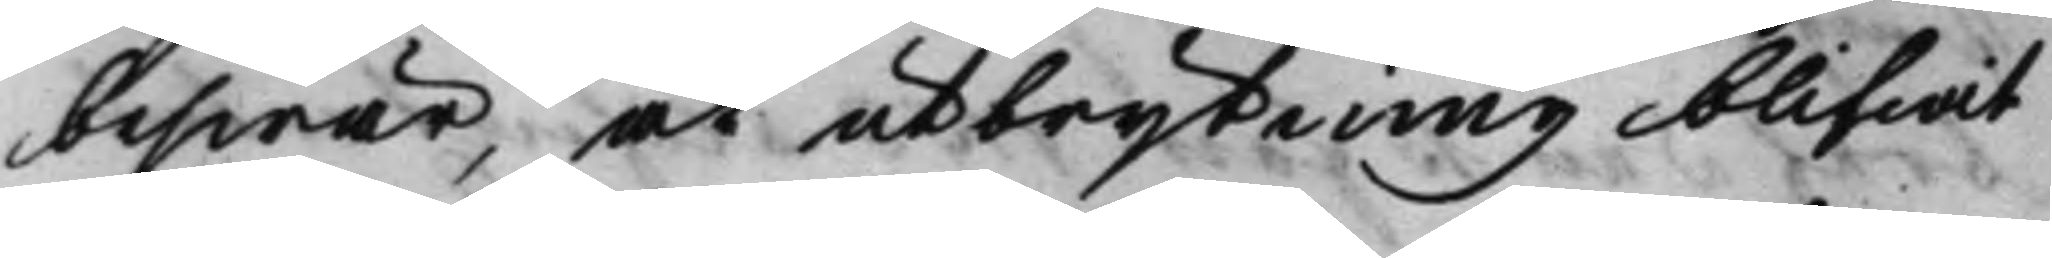beswär, at utbrytning blifwit
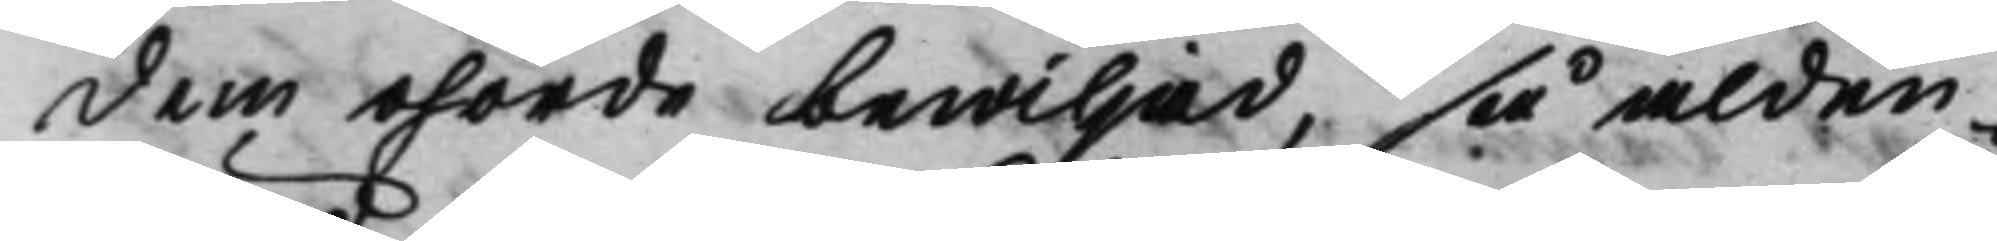dem ohörde bewiljad, så alden¬
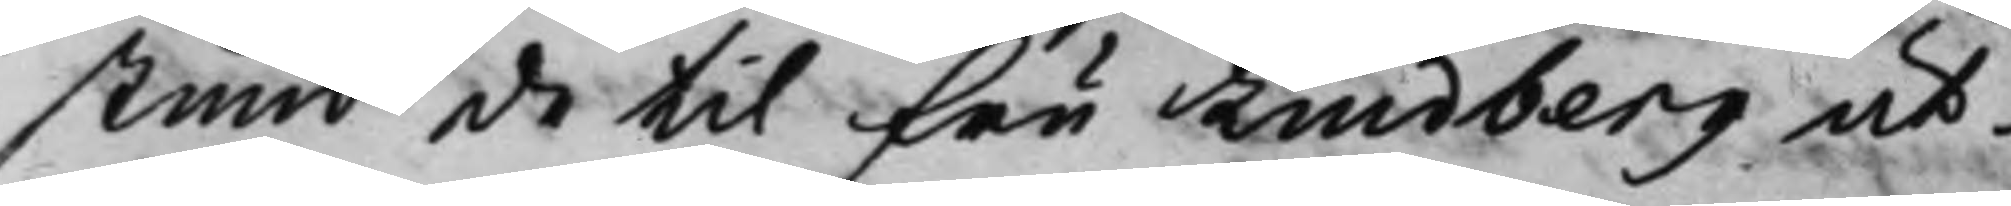stund de til fru Lindberg ut¬
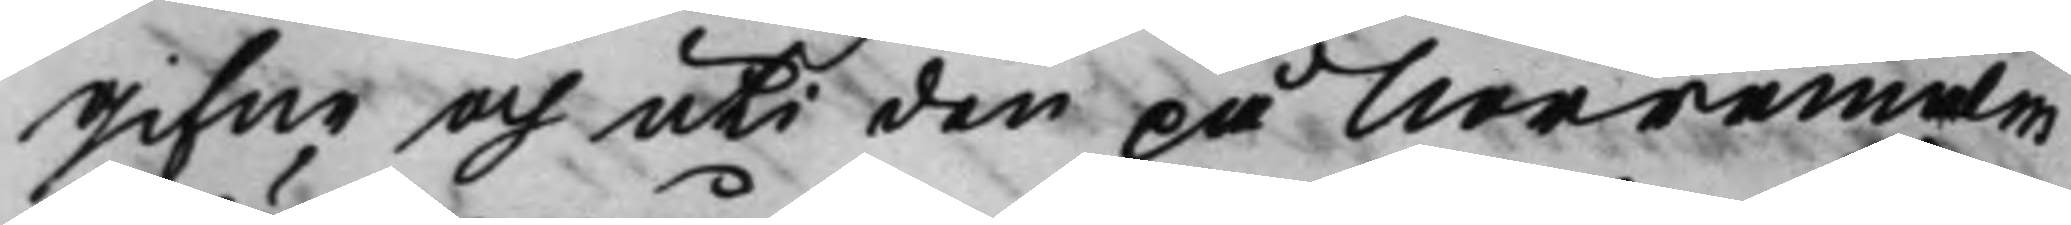gihne och uti den på Norremalm
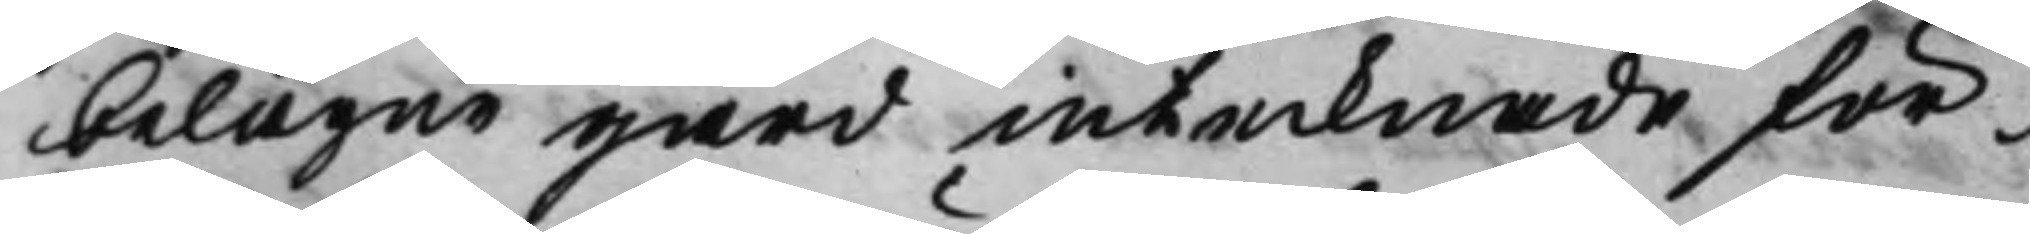belägne gård intecknade för¬
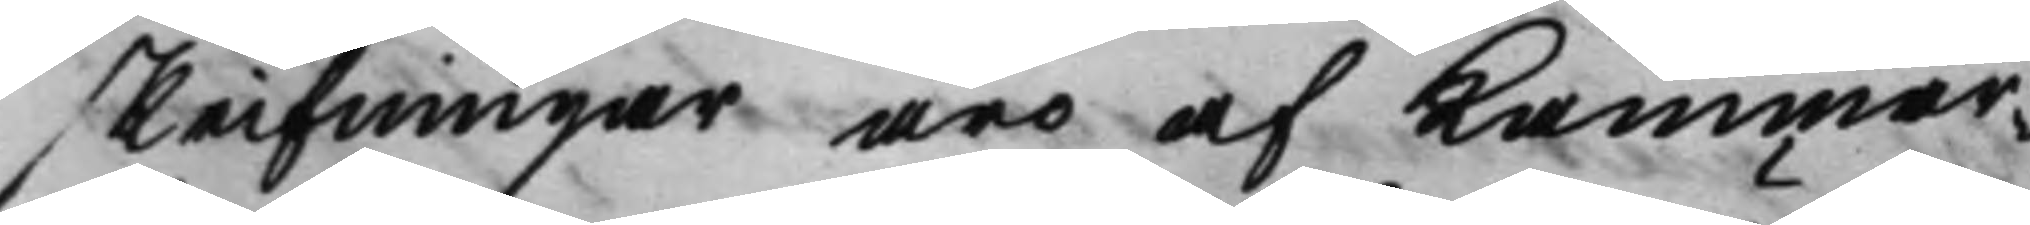skrifningar äro af Kammar¬
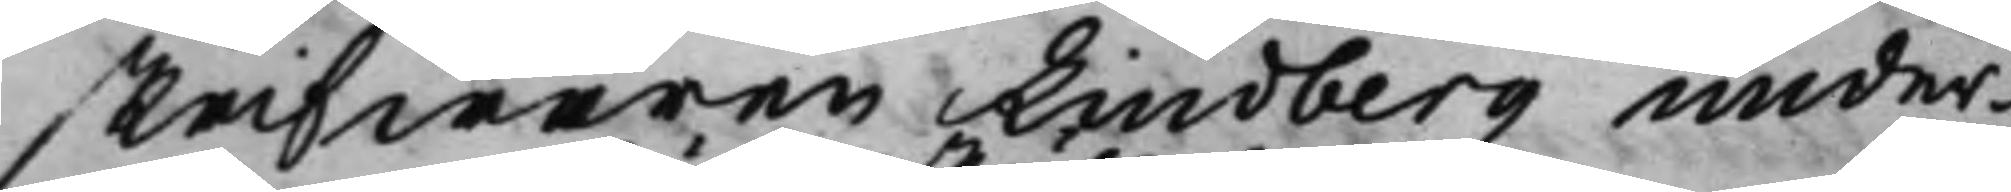skrifwaren Lindberg under¬
